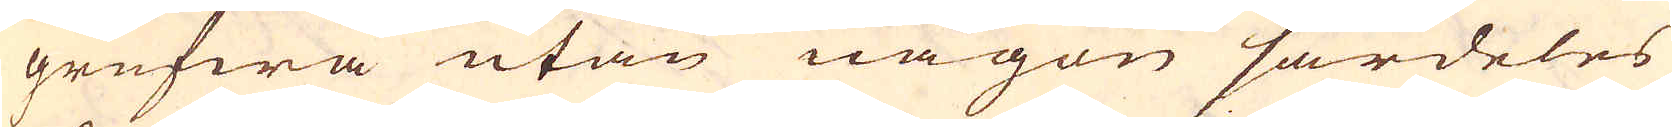grufwa utan någon särdeles
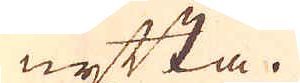nytta.
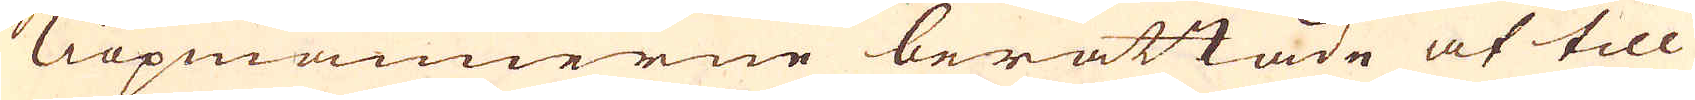Kiöpmännerne berättade at till
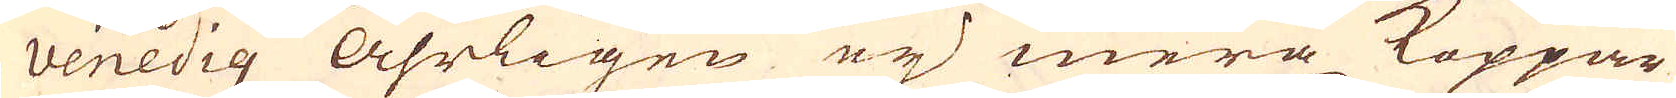venedig Åhrligen eij mera Koppar
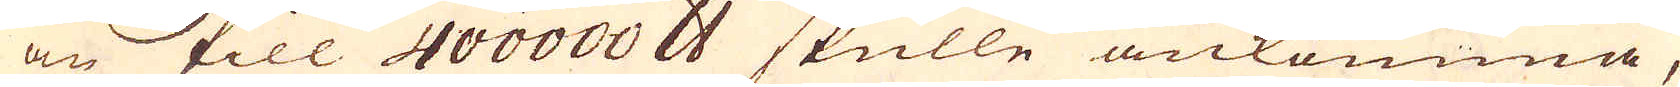än till 400000 skålpund skulle ankomma,
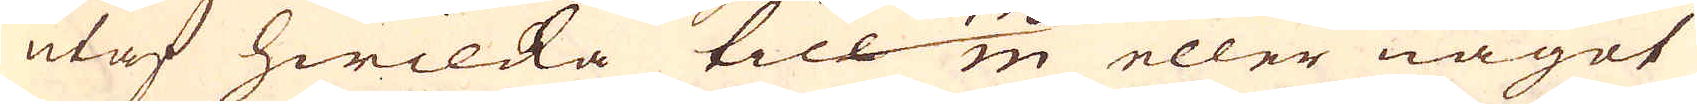utaf hwilcka till 150/m eller något
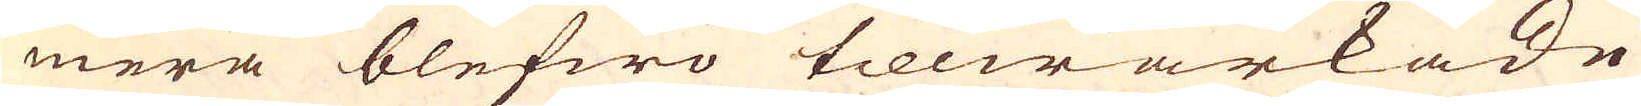mera blefwo tillwärkade
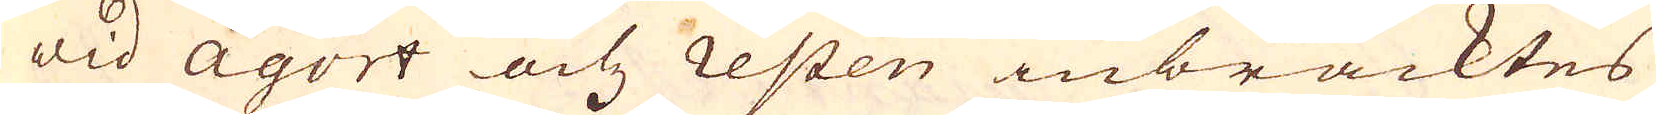wid Agort och resten inbracktes
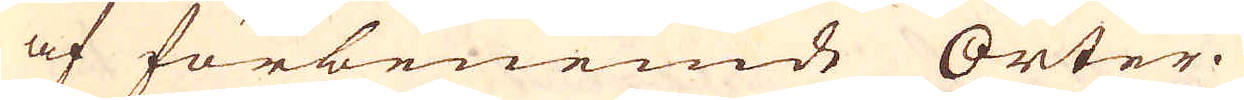af förbenemde Orter.
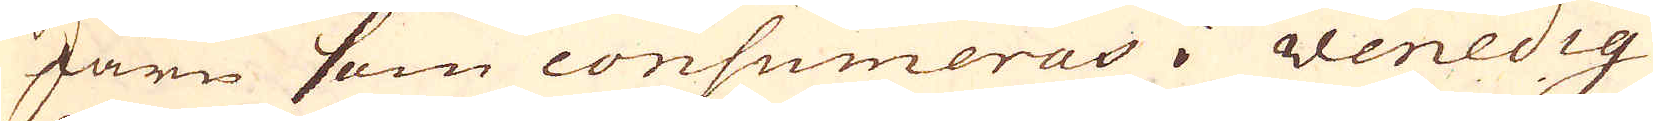Järn som consumeras i Venedig
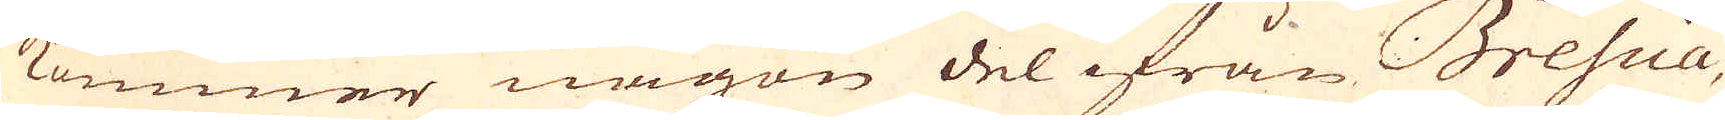kommer någon del ifrån Brescia,
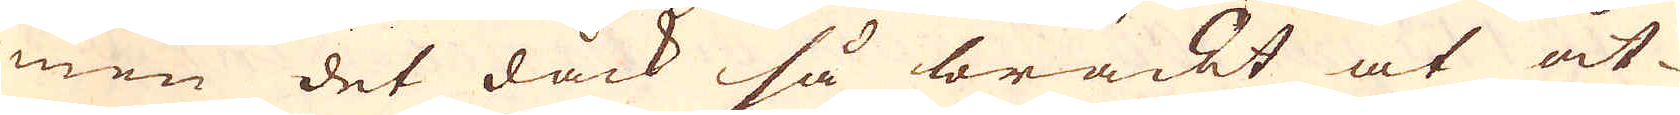men det dåck så bräckt at åt-
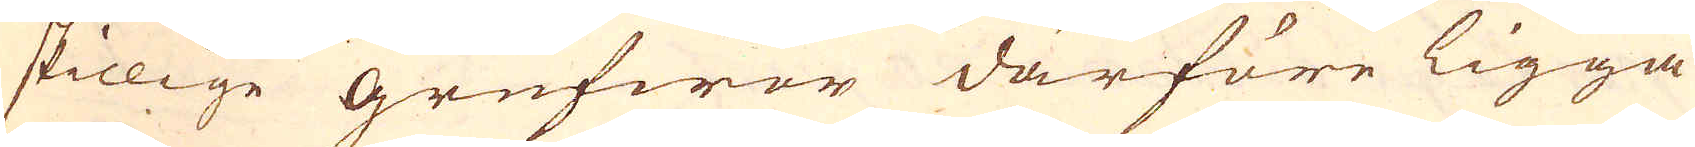skillige grufwor därföre ligga
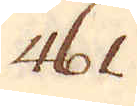461.
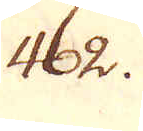462.
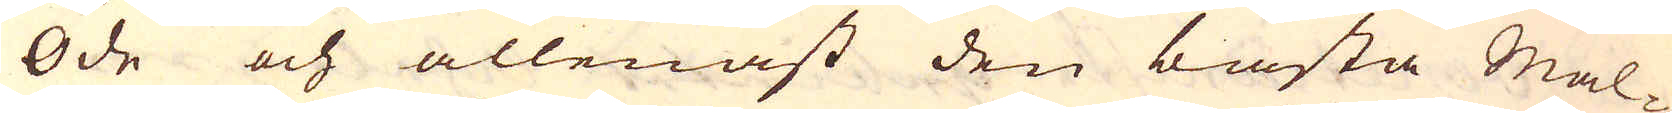Öde och allenast den bästa Mal-
